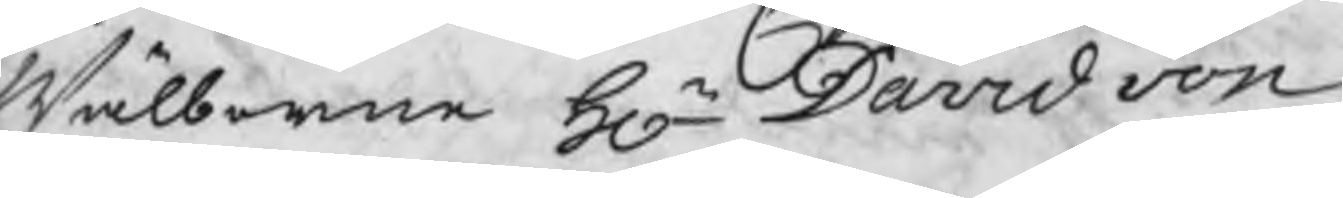Wälborne Hr David von
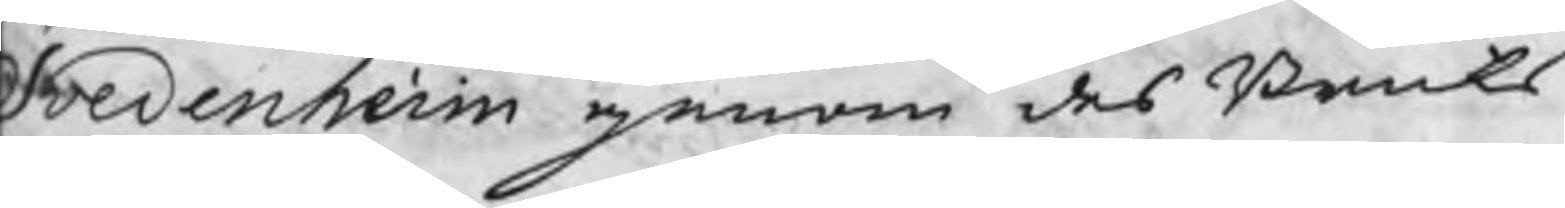Svedenheim genom des Bruks
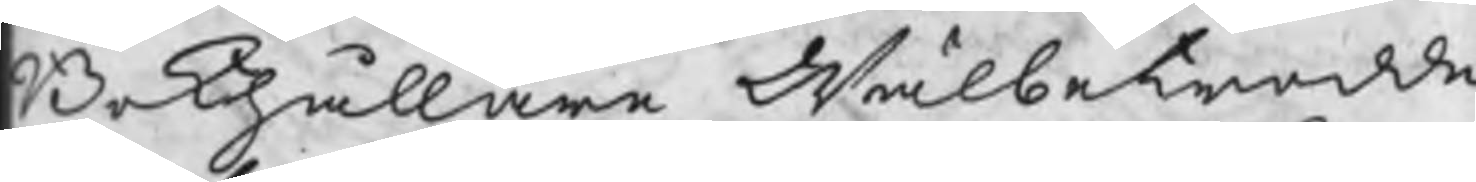Bokhållare Wälbetrodde
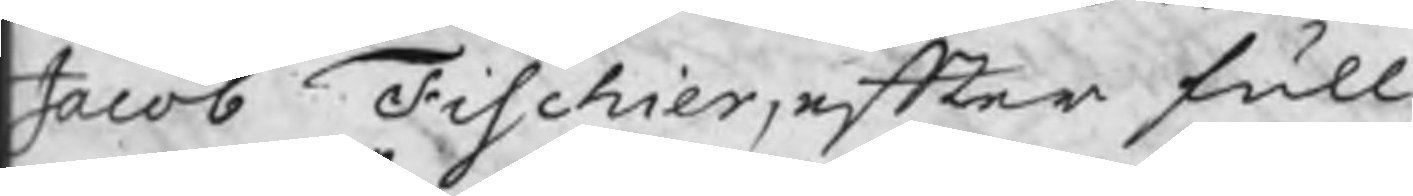Jacob Fischier, efter full¬
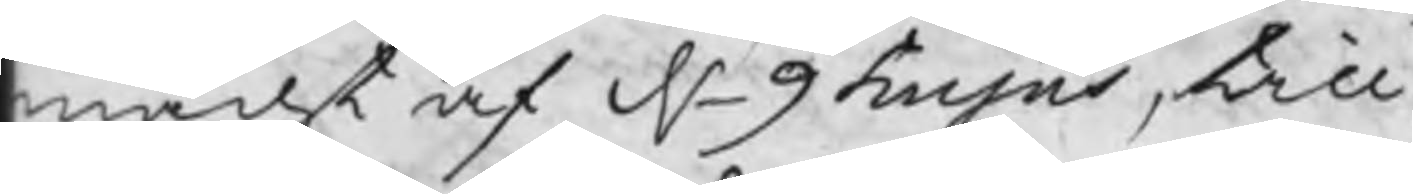macht af d 9 hujus, till
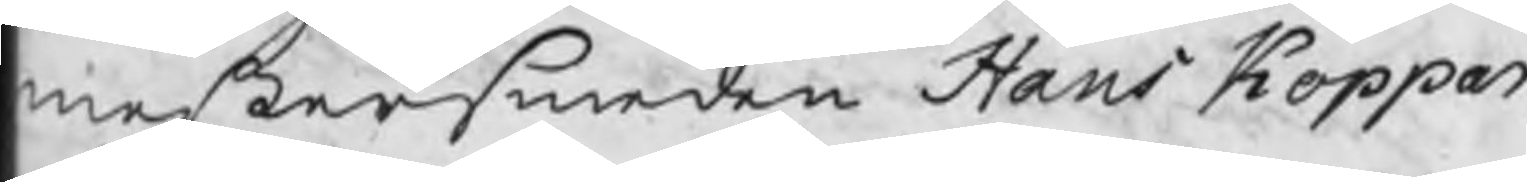mestersmeden Hans Koppar¬
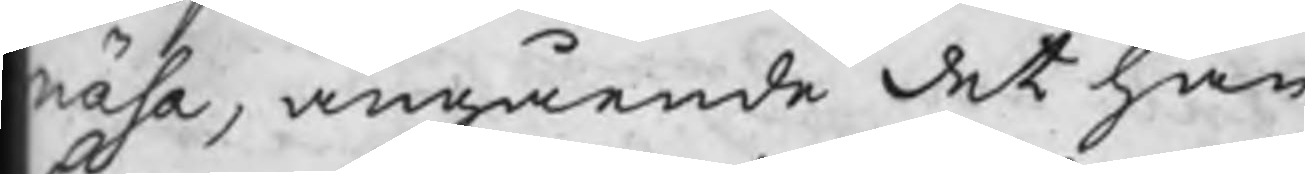näsa, angående det han
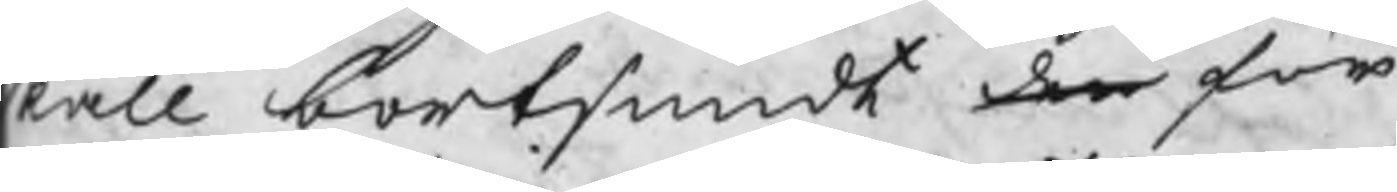skall bortsmidt den för
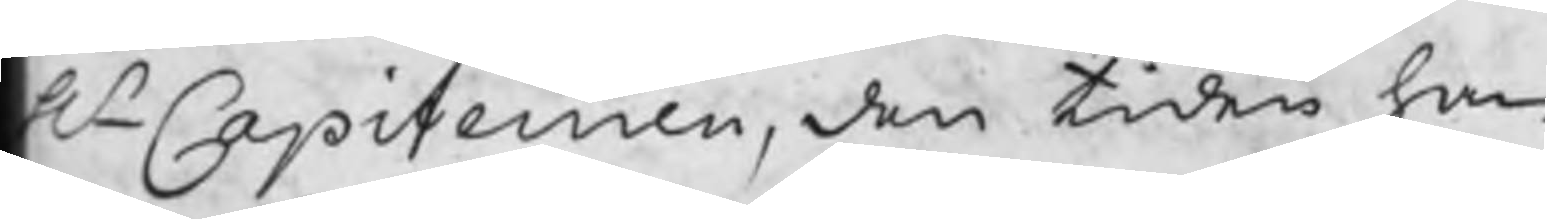Hr Capiteinen, den tiden han
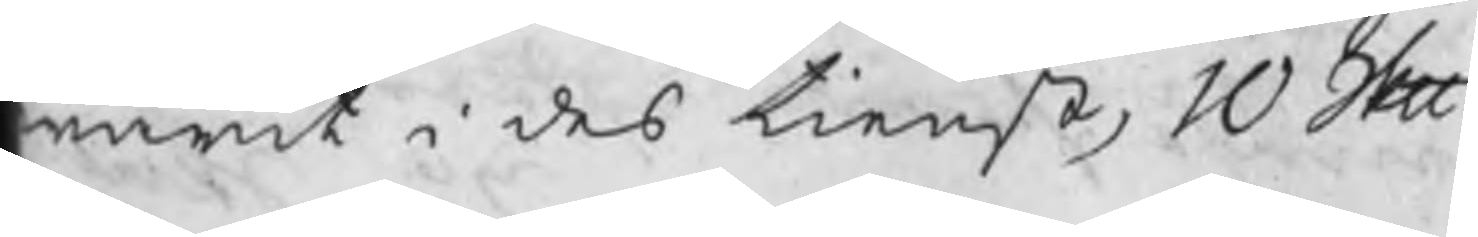warit i des tienst, 10 Skp
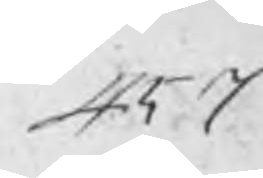457
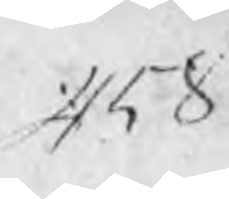458
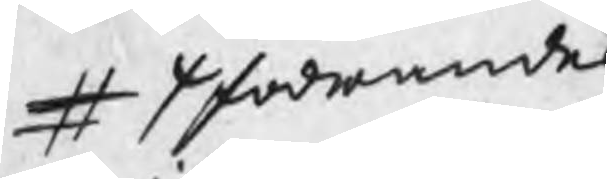# / fodrandes
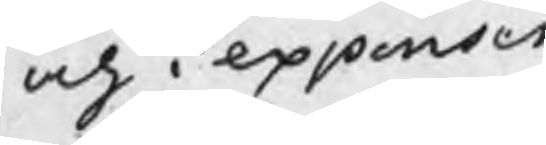och i expenser
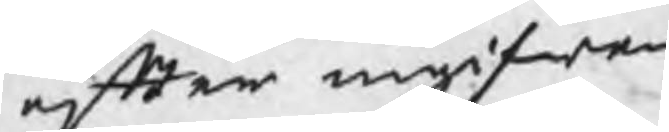efter ingifwen
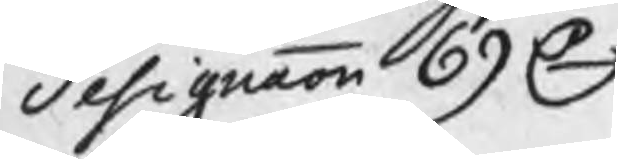designaon 69 D
